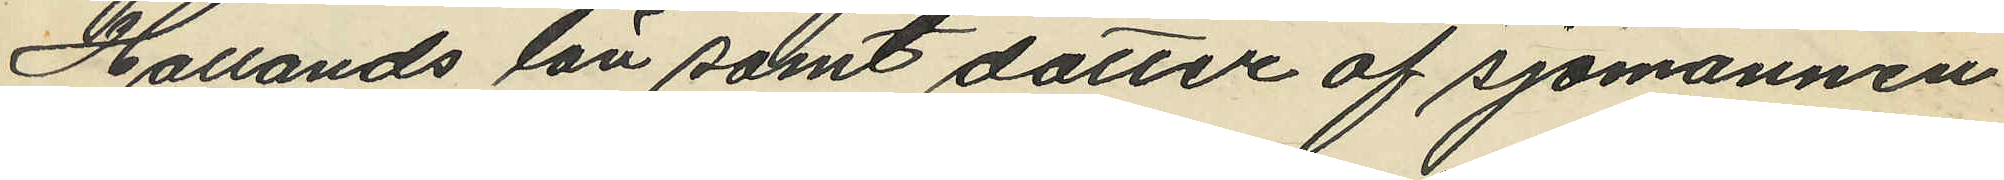Hallands län samt dotter af sjömannen
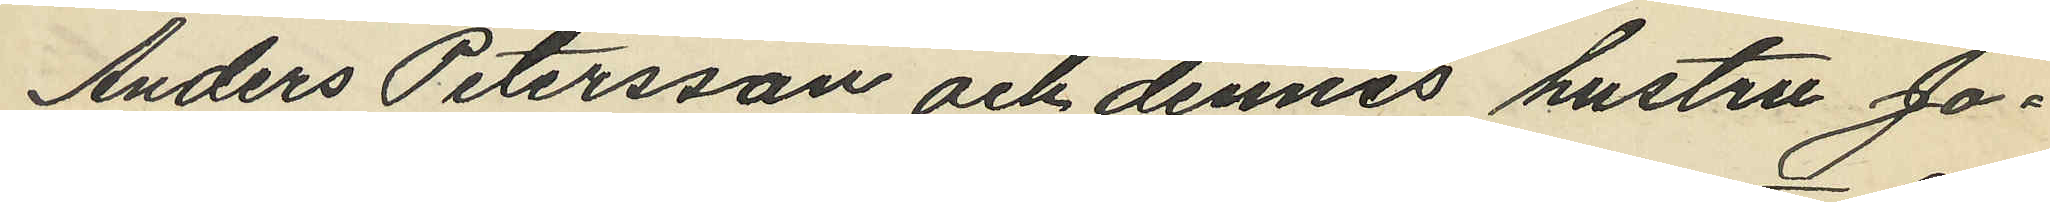Anders Petersson och dennes hustru Jo¬
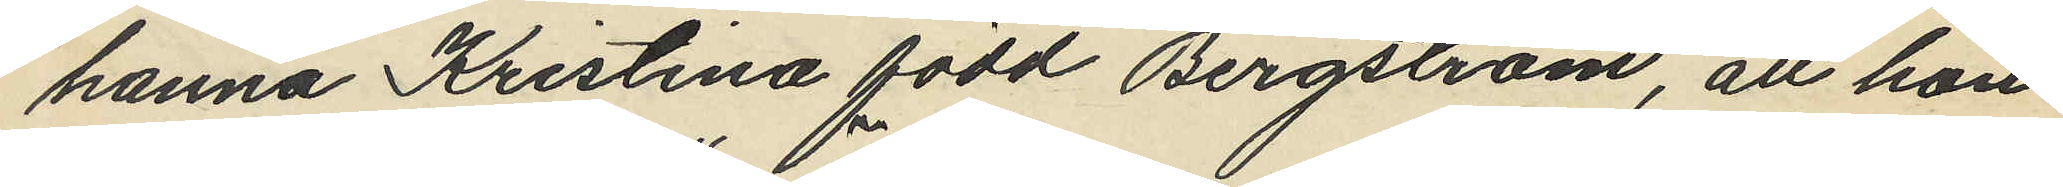hanna Kristina född Bergström, att hon
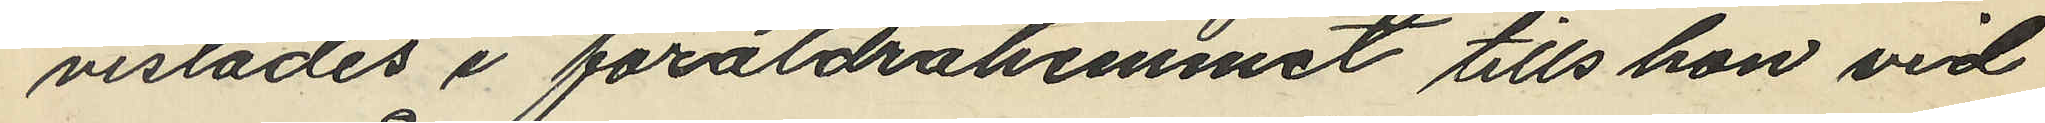vistades i föräldrahemmet tills hon vid
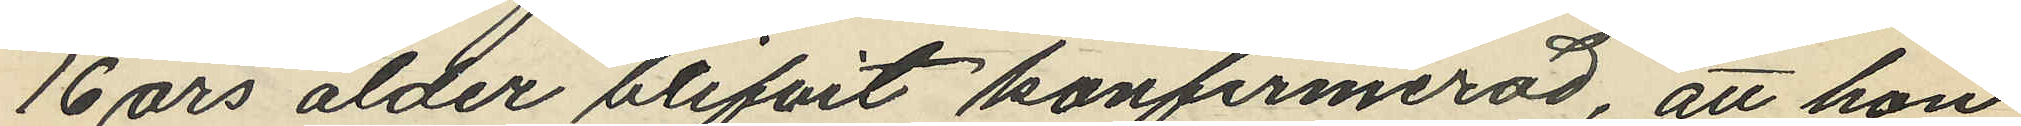16 års ålder blifvit konfirmerad, att hon
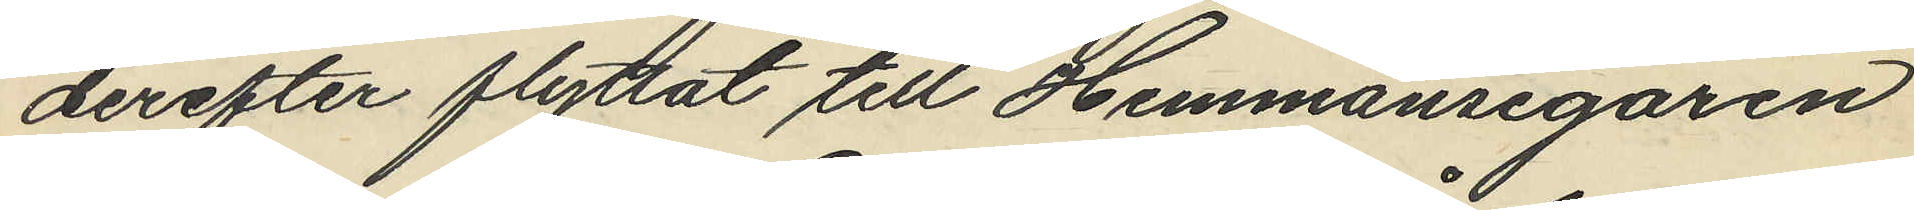derefter flyttat till Hemmansegaren
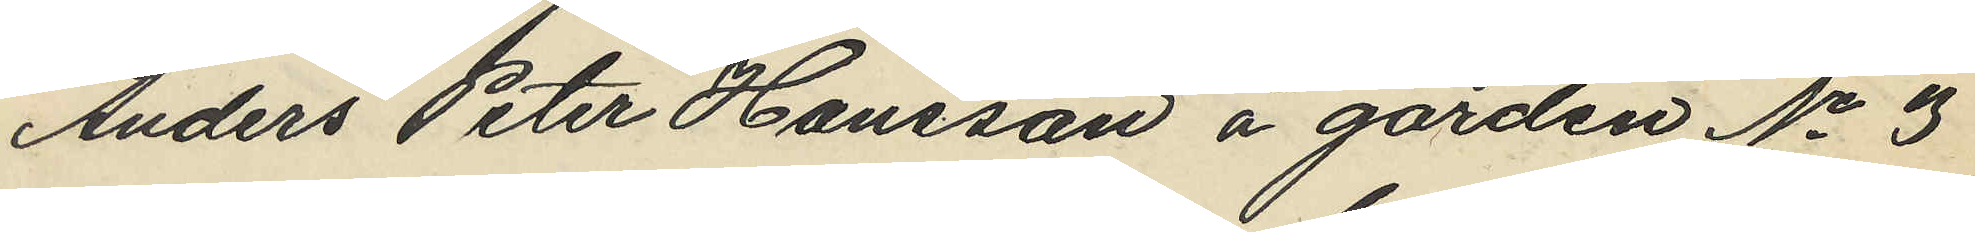Anders Peter Hansson å gården No 3
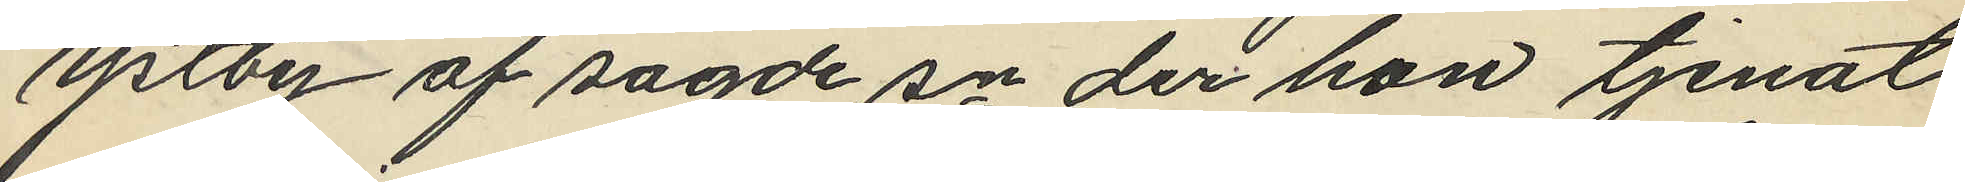Ystby af sagde sn der hon tjenat
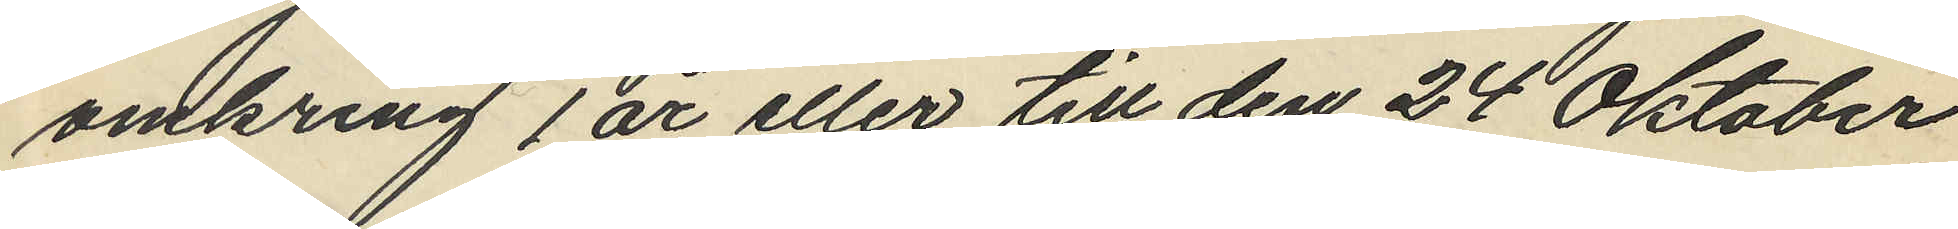omkring 1 år eller till den 24 Oktober
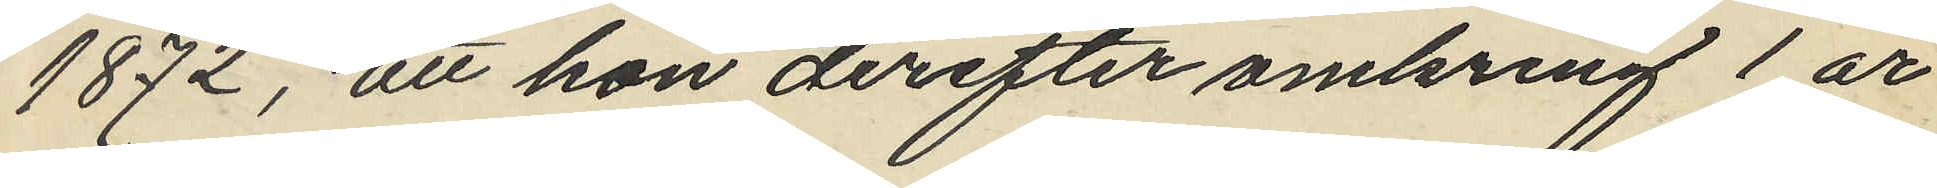1872, att hon derefter omkring 1 år
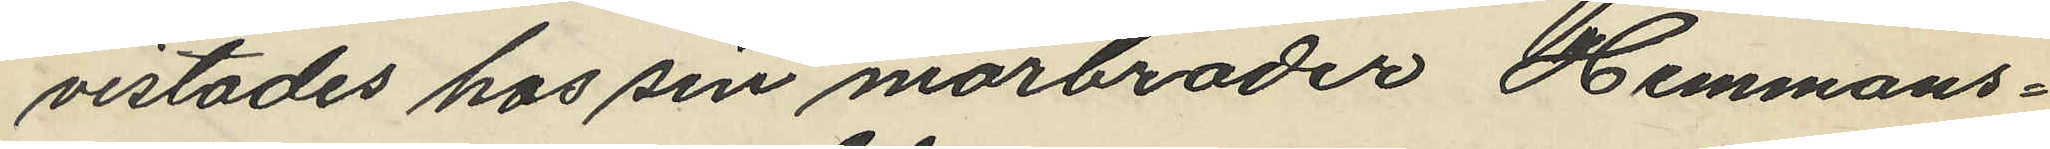vistades hos sin morbroder Hemmans¬
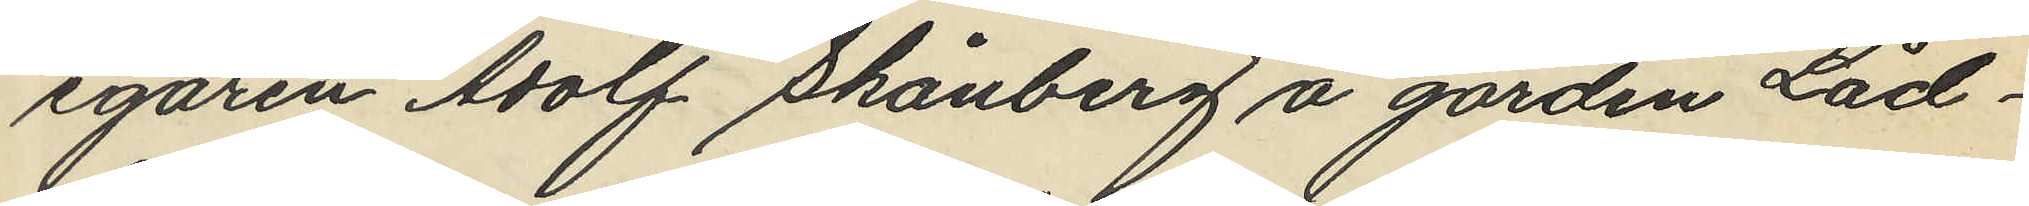egaren Adolf Skånberg å gården Låd¬
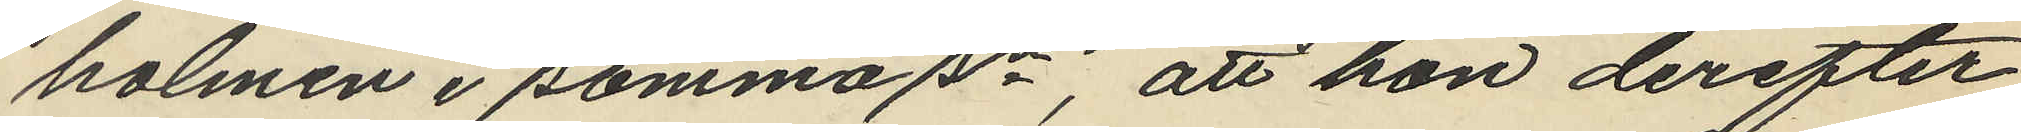holmen i samma sn, att hon derefter
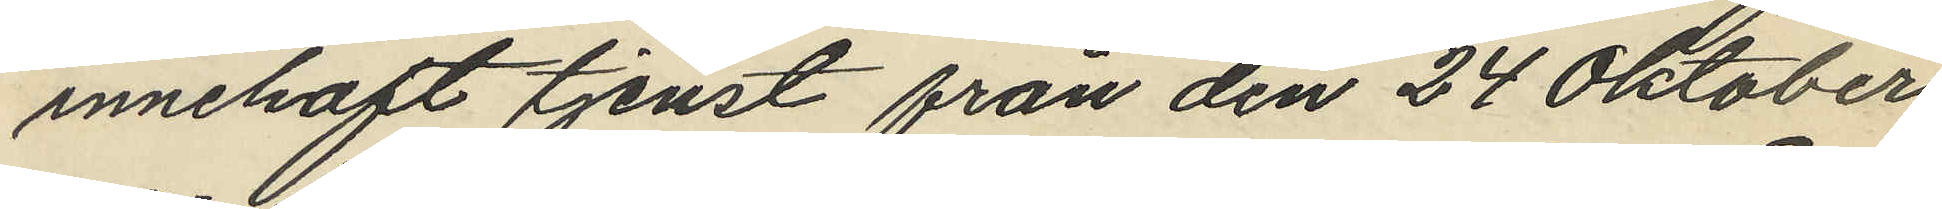innehaft tjenst från den 24 Oktober
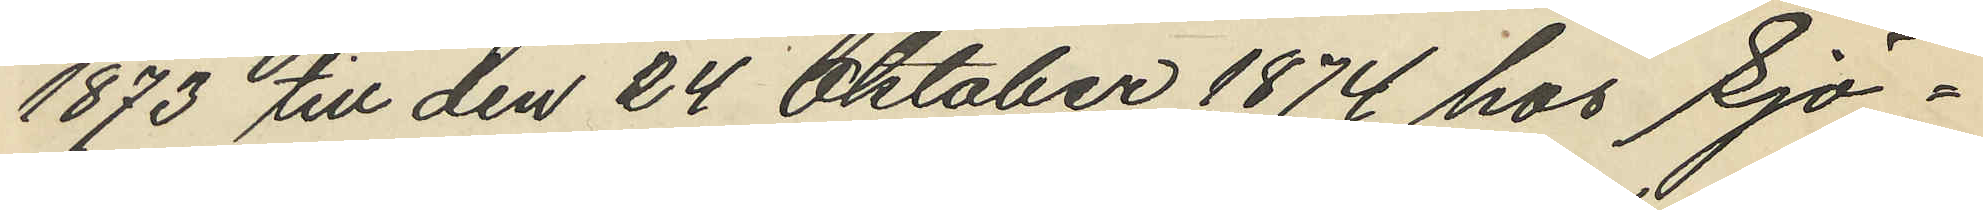1873 till den 24 Oktober 1874 hos Sjö¬
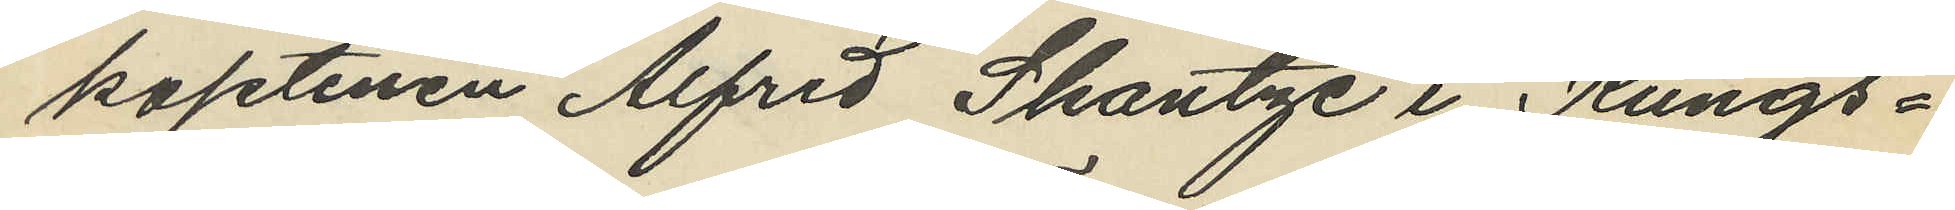kaptenen Alfred Skantze i Kungs¬
